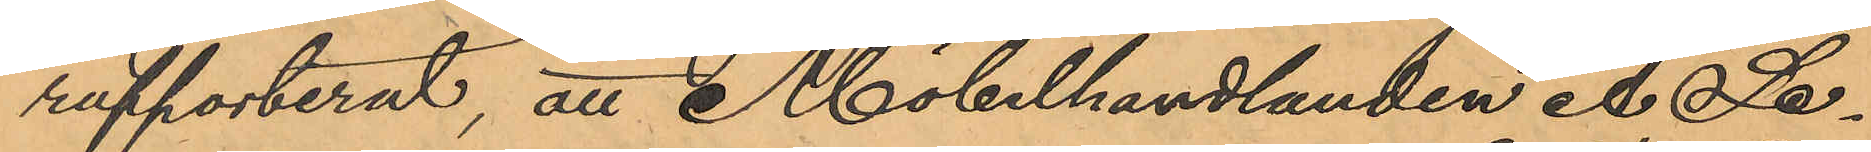rapporterat, att Möbelhandlanden A. Sa¬
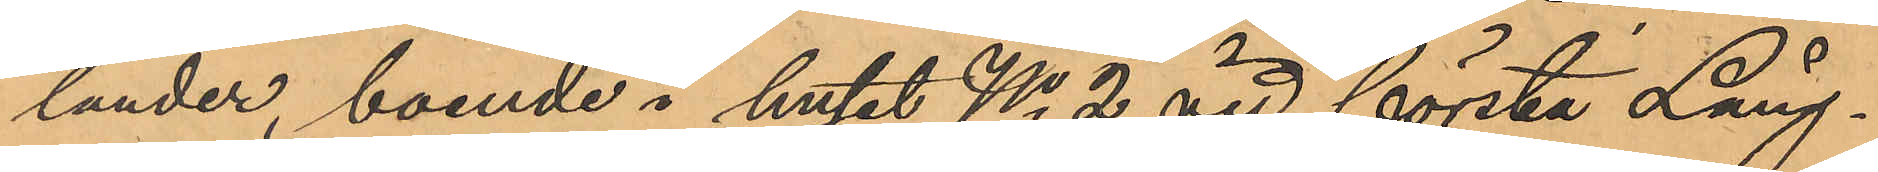lander, boende i huset No 2 vid första Lång¬
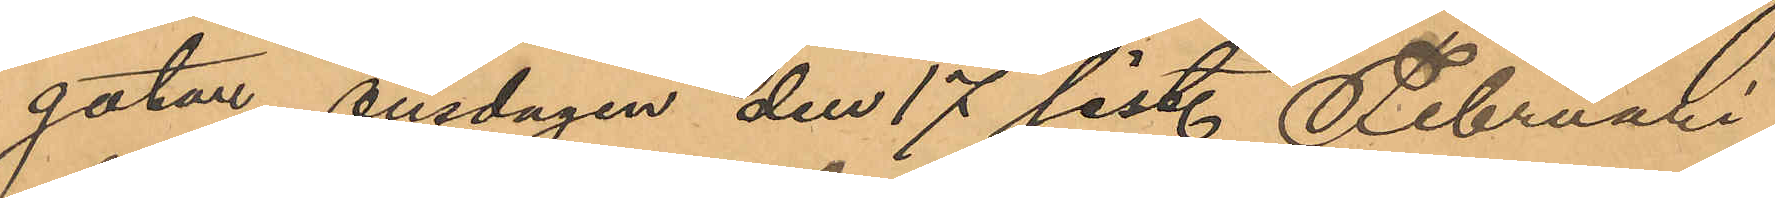gatan, onsdagen den 17 sist. Februari
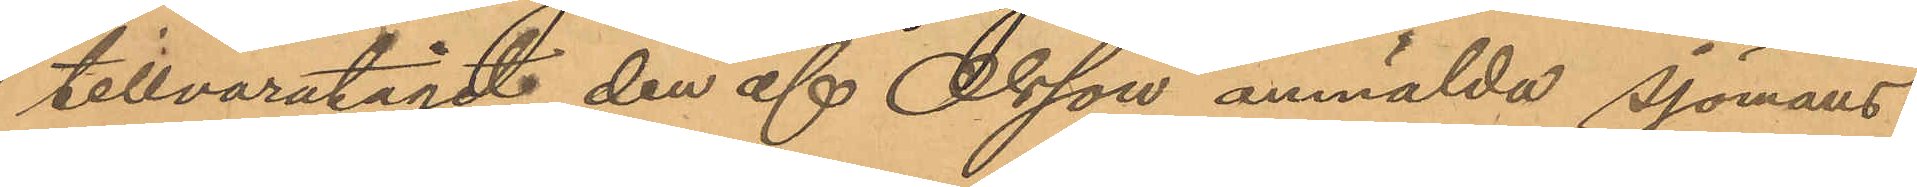tillvaratagit den af Olsson anmälda sjömans¬
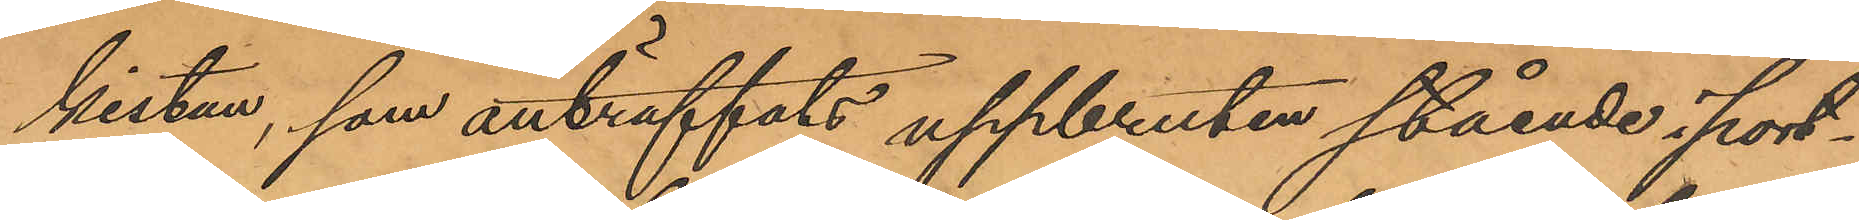kistan, som anträffats uppbruten stående i port¬
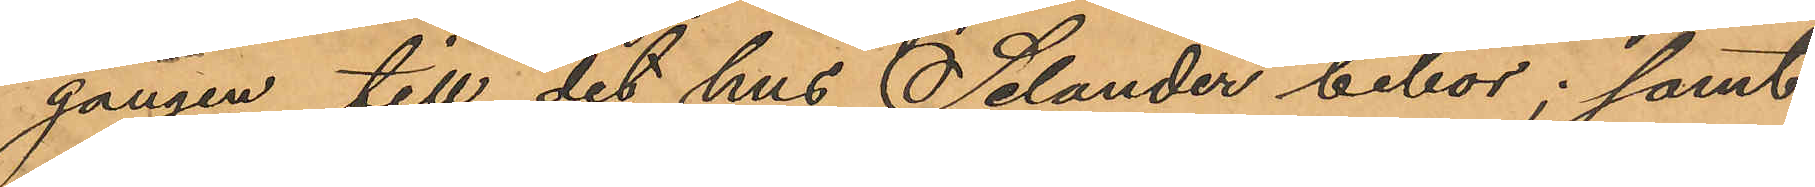gången till det hus Salander bebor; samt
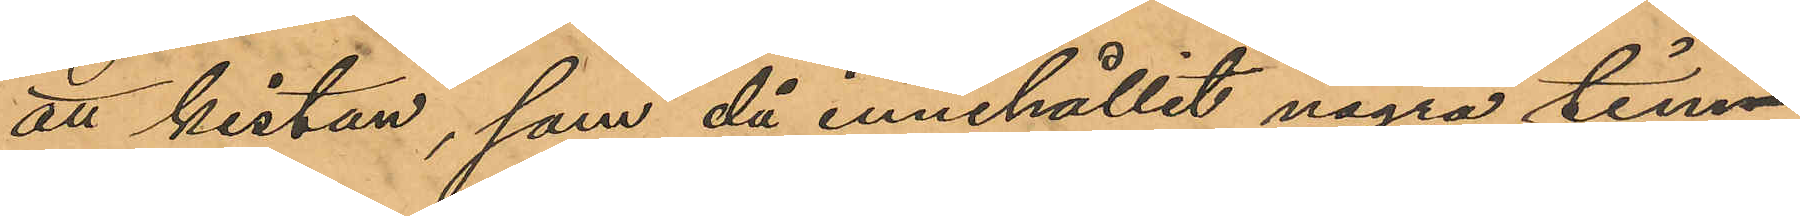att kistan, som då innehållit några tim¬
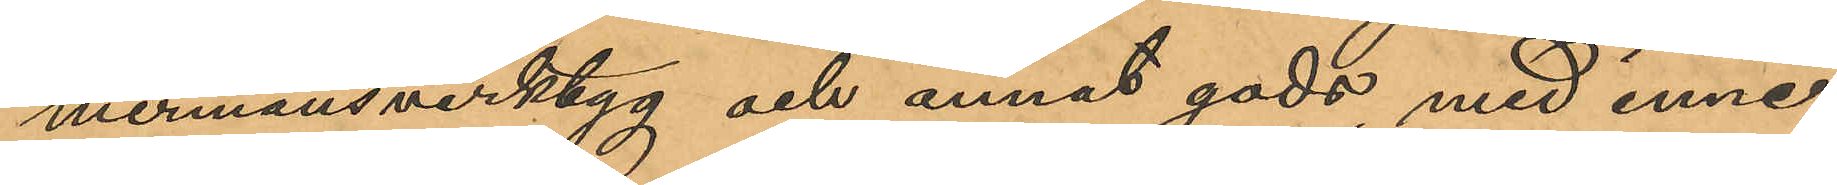mermansverktyg och annat gods med inne¬
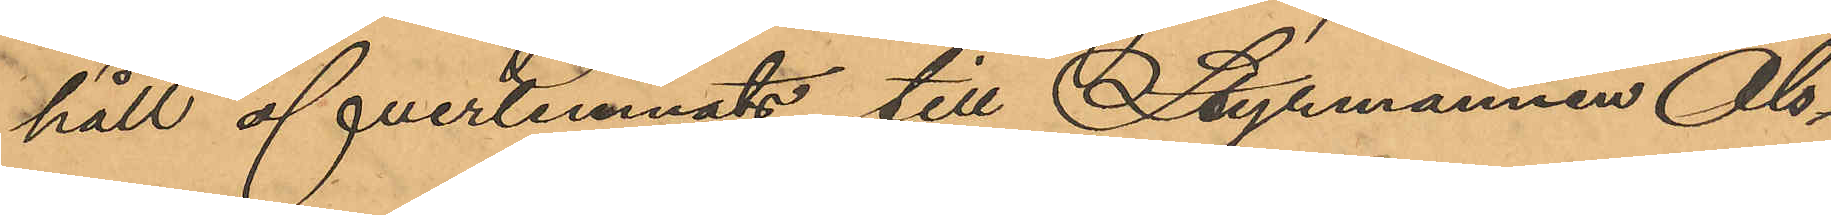håll öfverlemnats till Styrmannen Ols¬
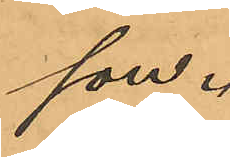son.
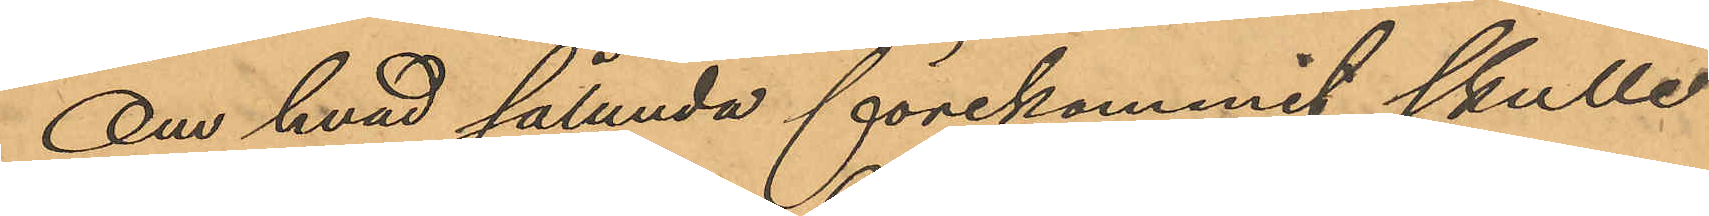Om hvad sålunda förekommit skulle
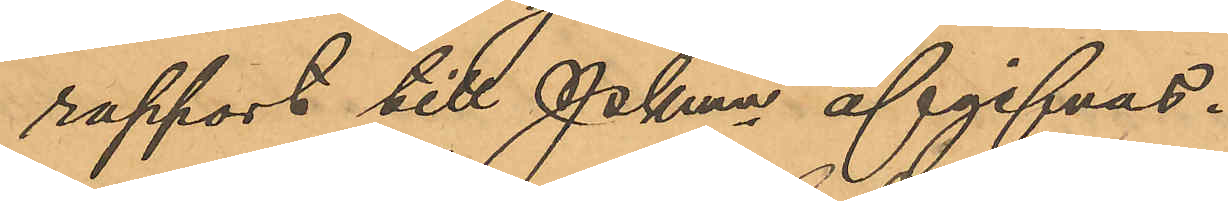rapport till Pkmn afgifvas.
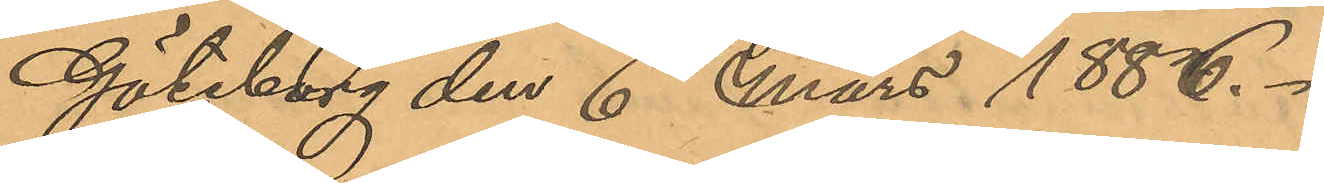Göteborg den 6 Mars 1886.
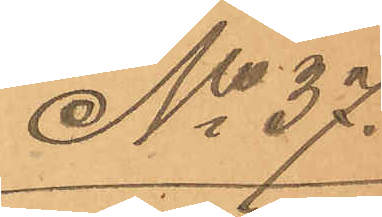No 37.
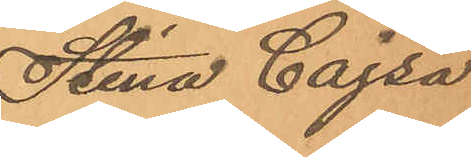Stina Cajsa
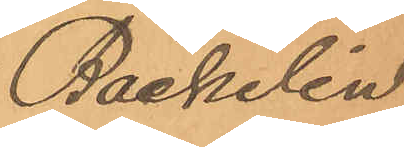Bäckelin
